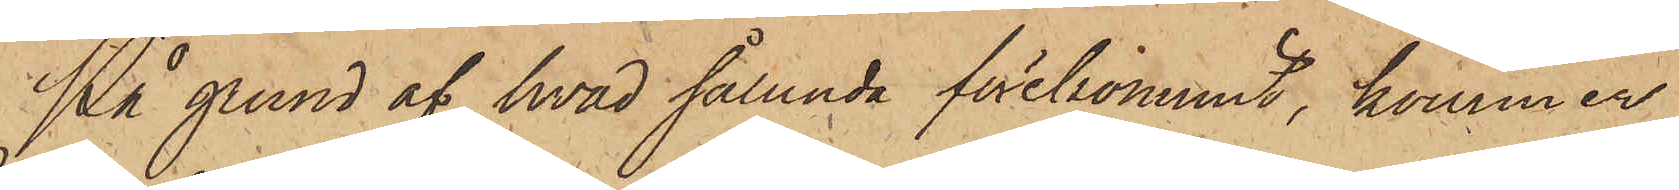På grund af hvad sålunda förekommit, kommer
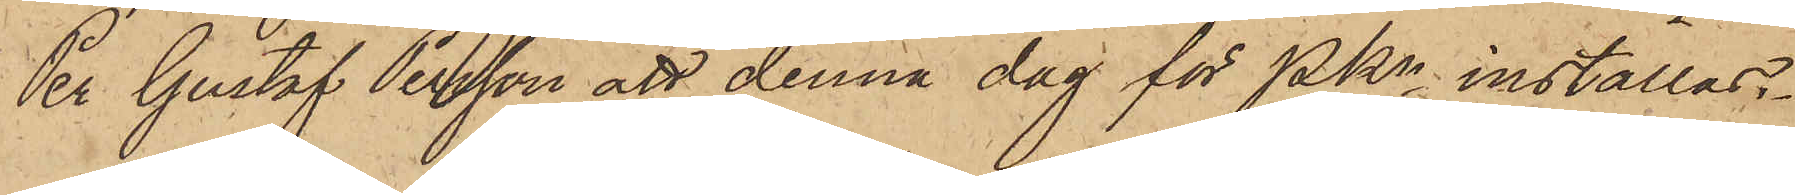Per Gustaf Persson att denna dag för PKn inställas.
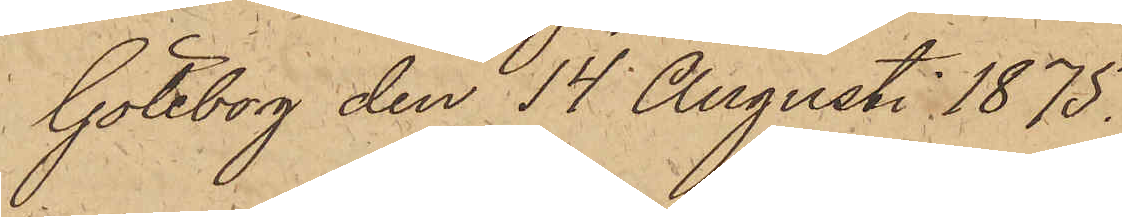Göteborg den 14 Augusti 1875.
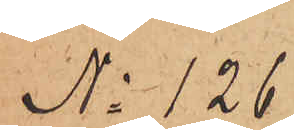No 126.
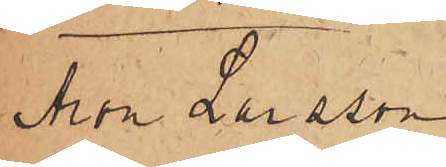Aron Larsson
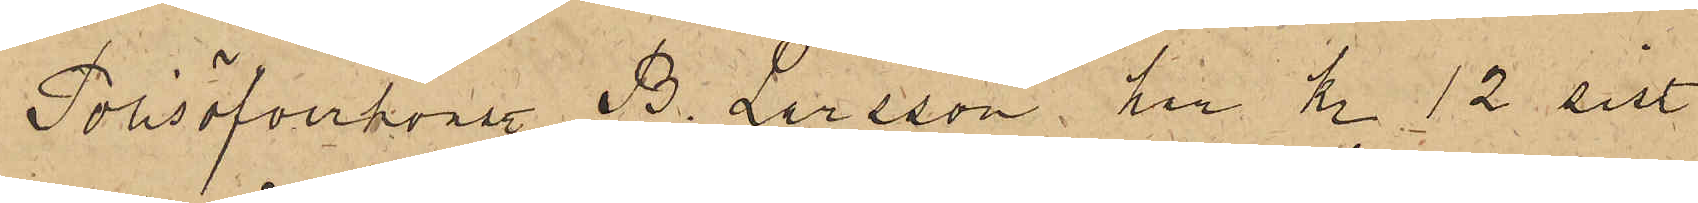Polisöfverkonst. B. Larsson, till kl. 12 sist.
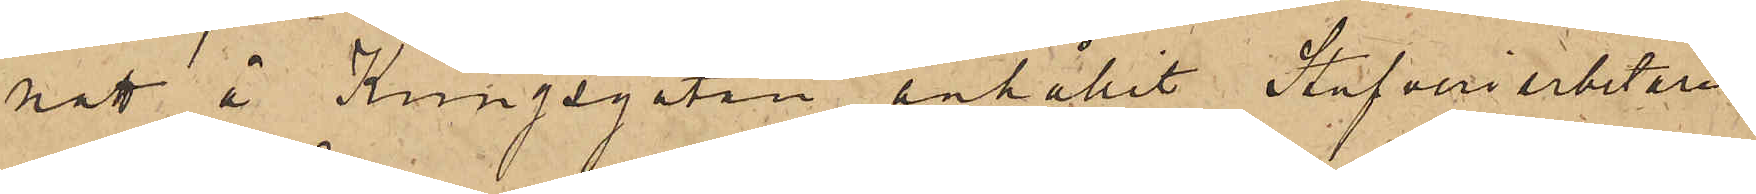natt å Kungsgatan anhållit Stufveriarbetaren
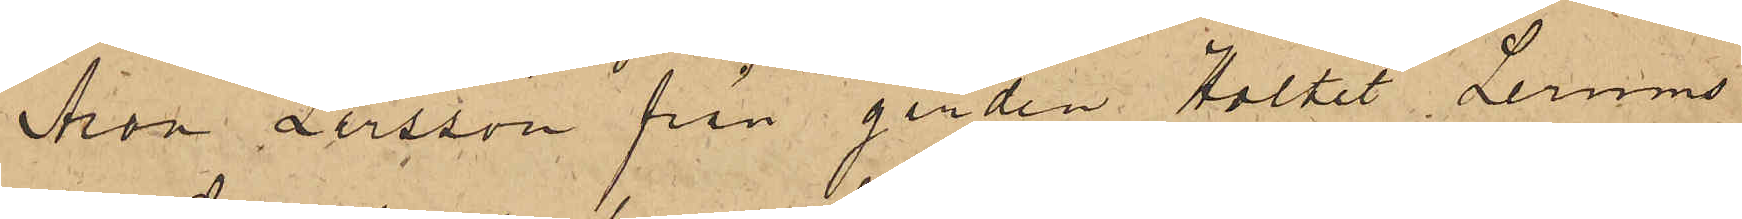Aron Larsson från gården Holtet Lerums
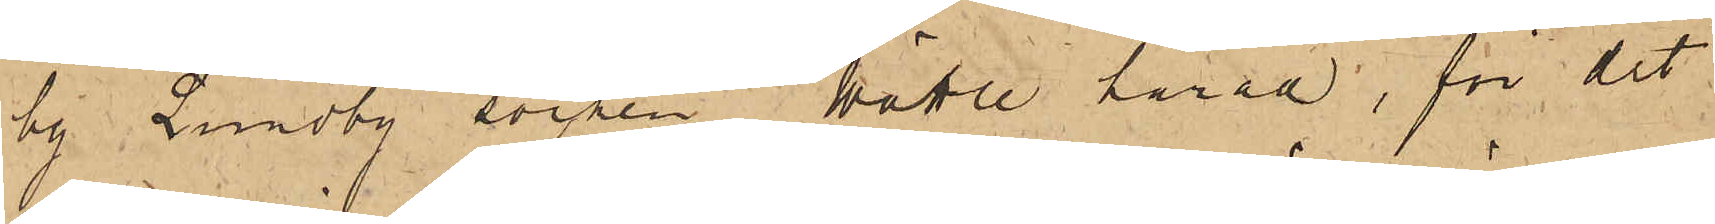by Lundby socken Wättle härad, för det
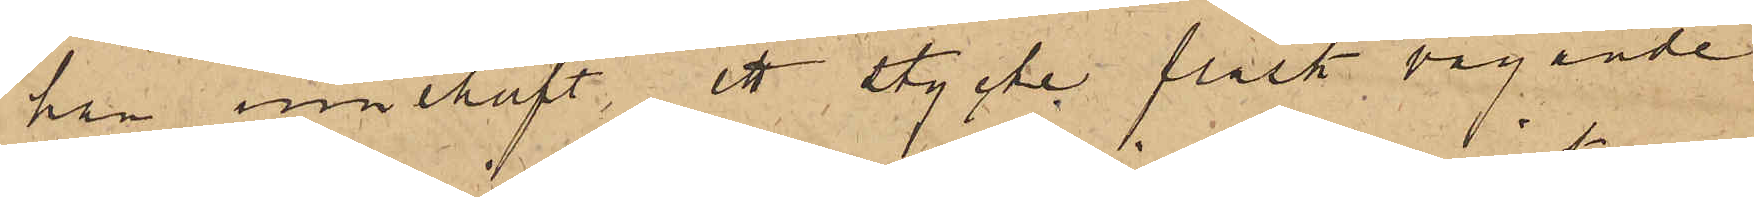han innehaft ett stycke fläsk vägande
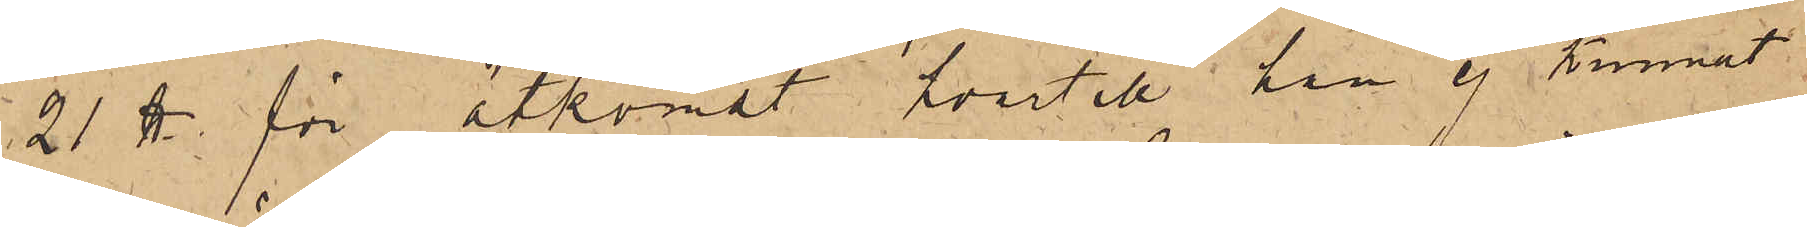21 ℔. för åtkomst hvartill han ej kunnat
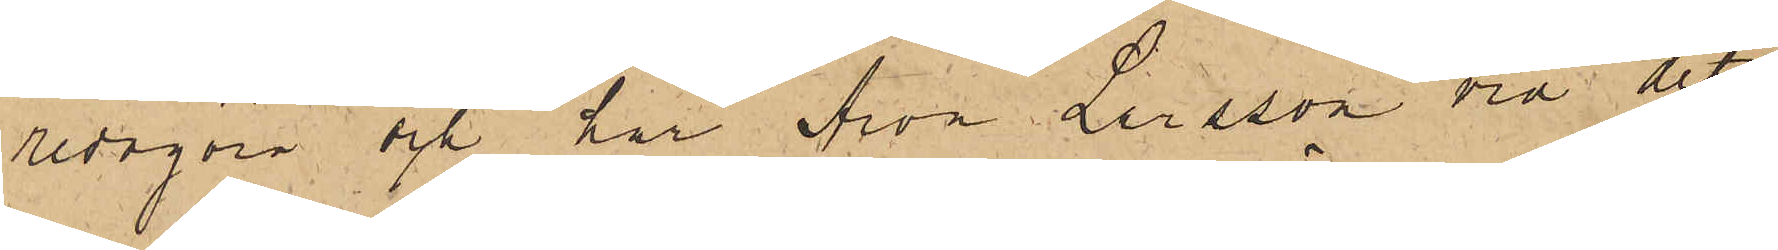redogöra och har Aron Larsson vid det
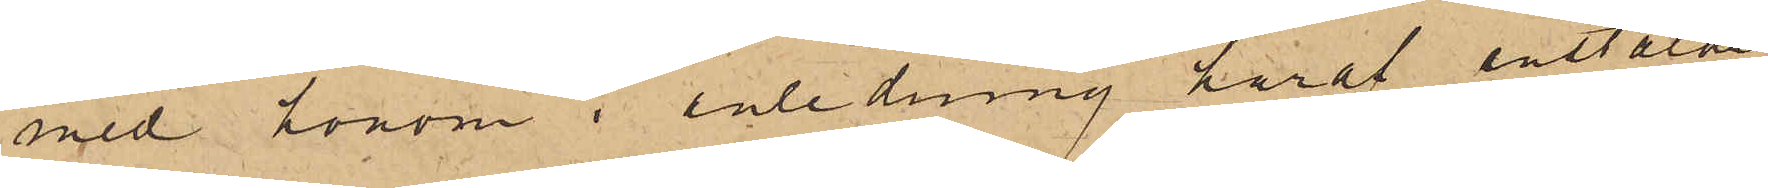med honom i anledning häraf anstälde
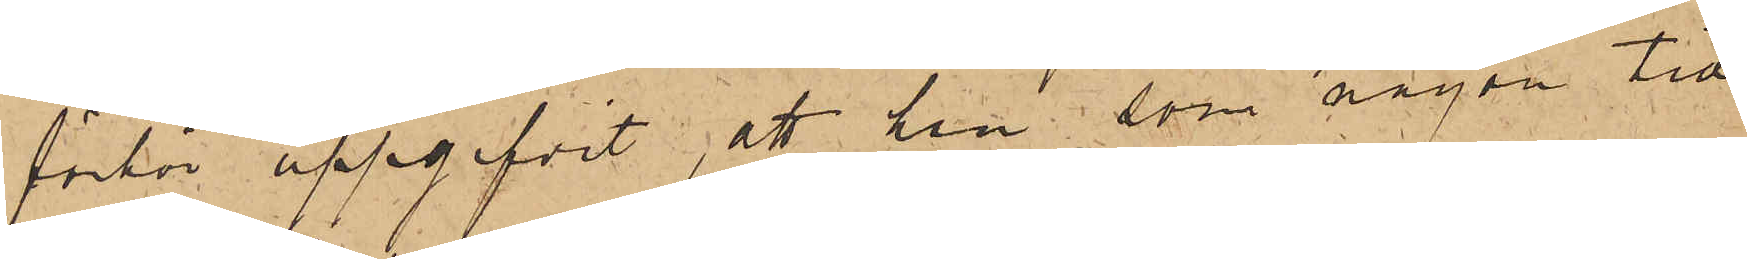förhör uppgifvit, att han, som någon tid
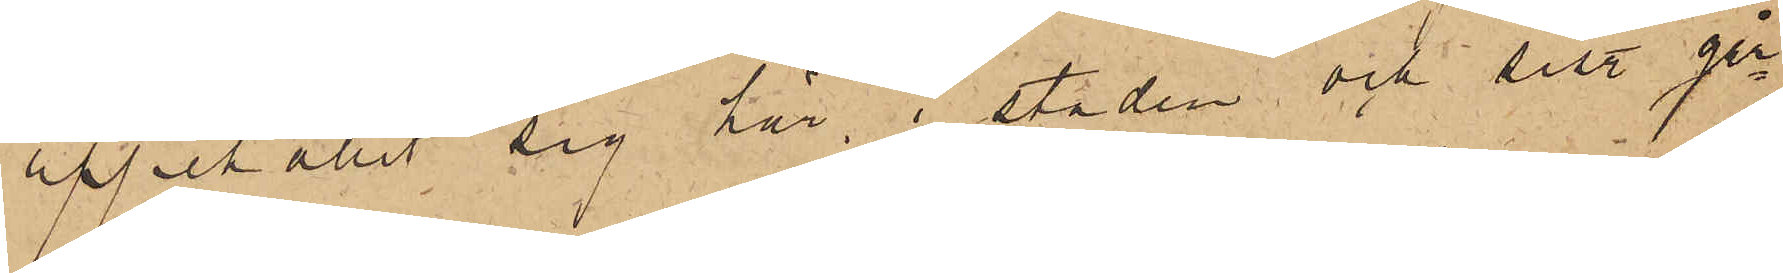uppehållit sig här i staden och sist. går¬
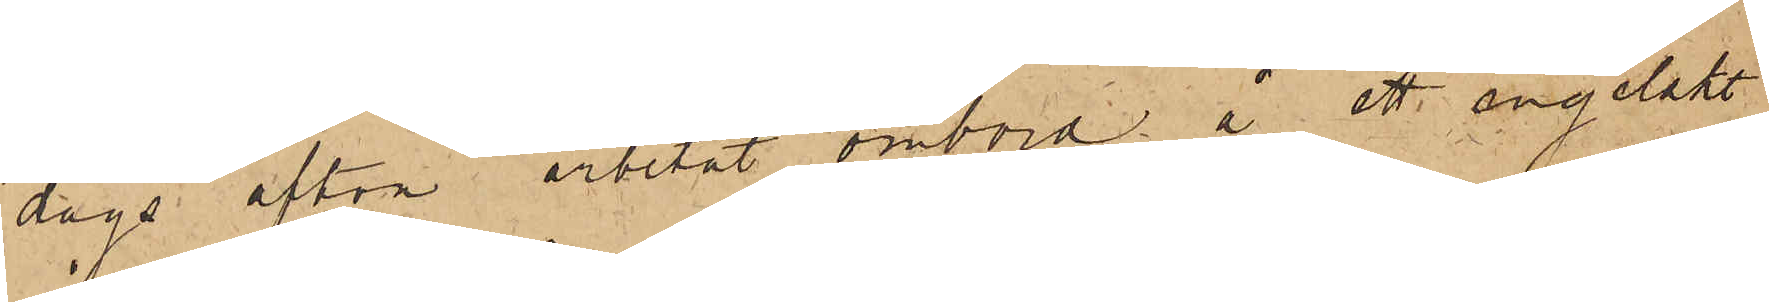dags afton arbetat ombord å ett engelskt
